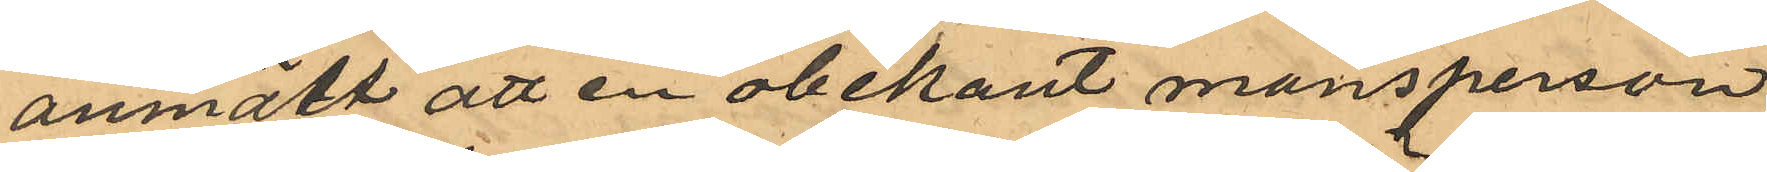anmält att en obekant mansperson
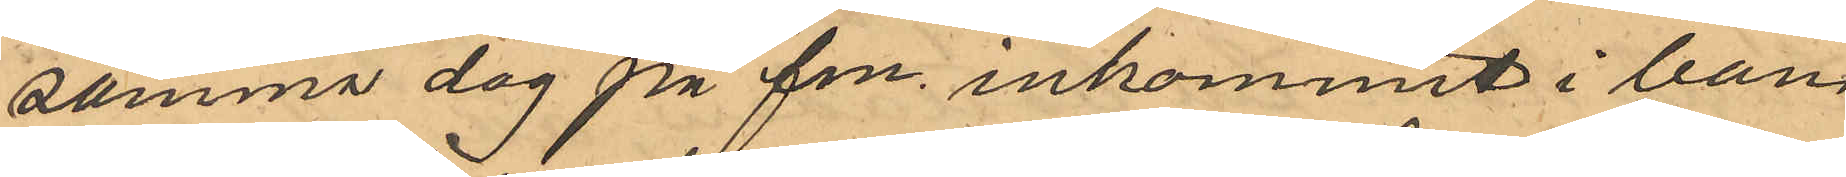samma dag på fm. inkommit i ban¬
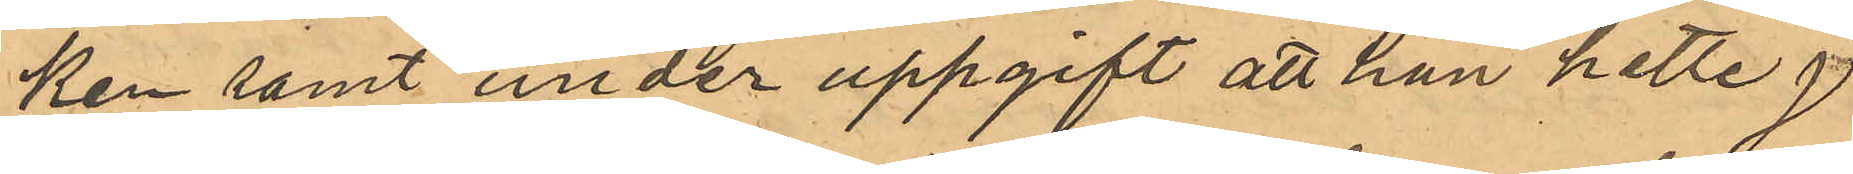ken samt under uppgift att han hette J.
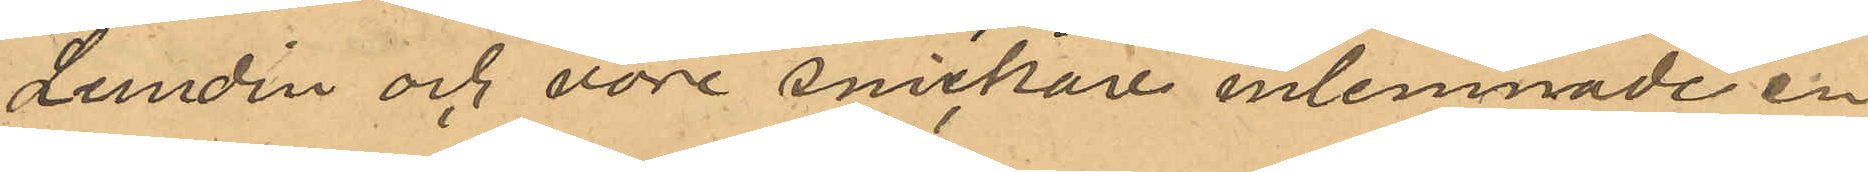Lundin och vore snickare inlemnade en
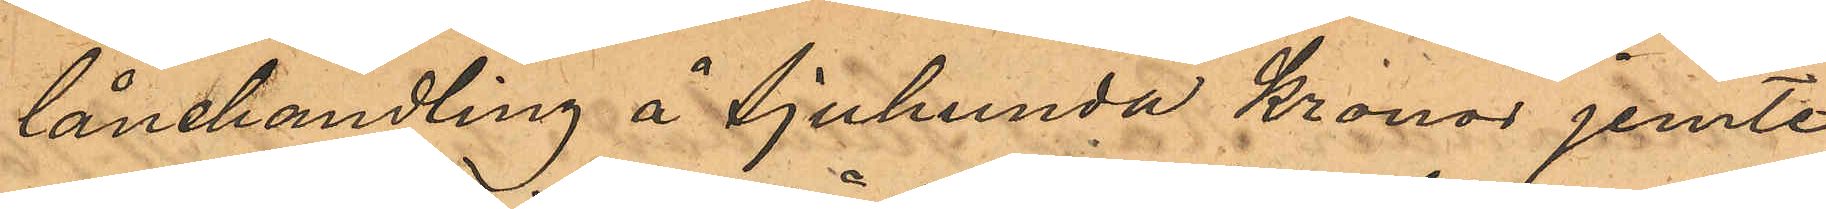lånehandling å sjuhunda kronor jemte
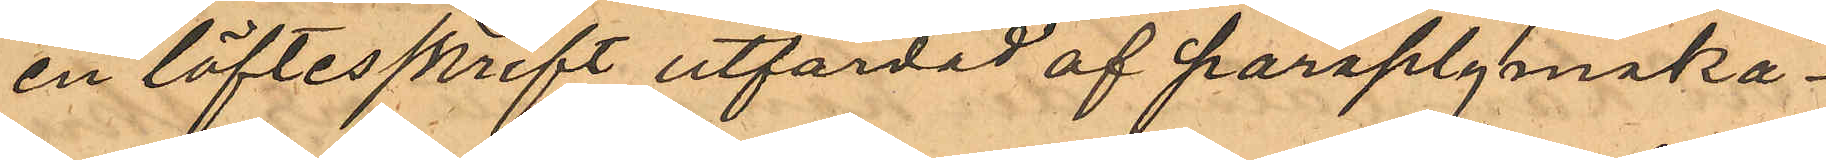en löftesskrift utfärdad af paraplymaka¬
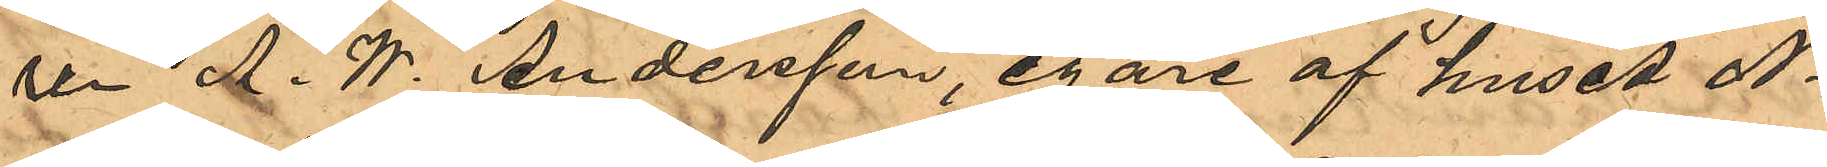ren A. W. Andersson, egare af huset No
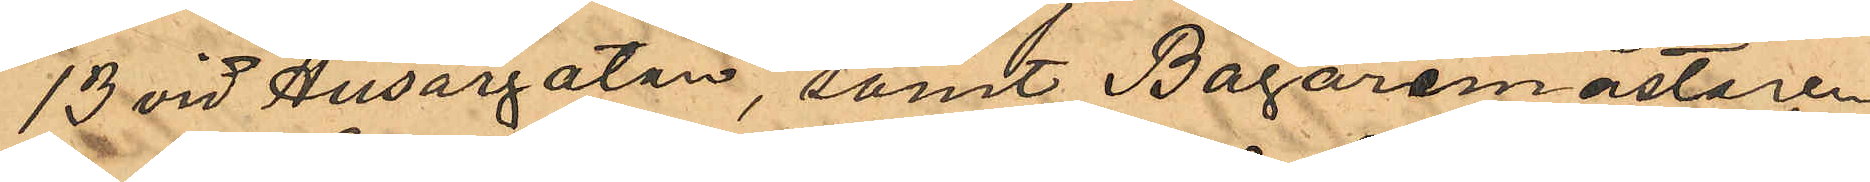13 vid Husargatan, samt Bagaremästaren
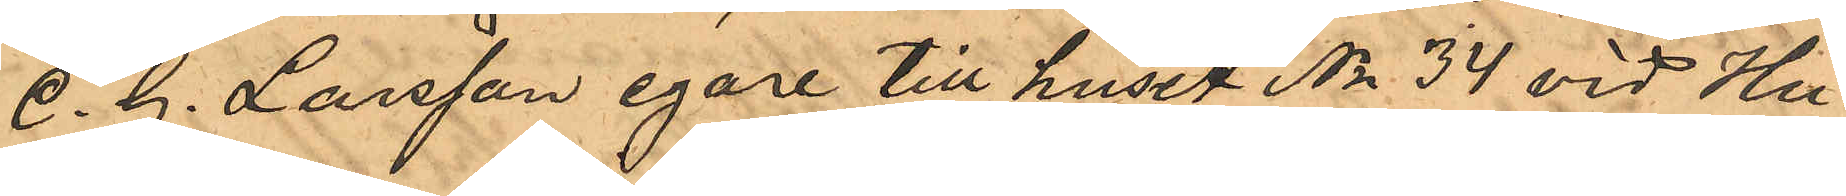C. G. Larsson egare till huset No 34 vid Hu¬
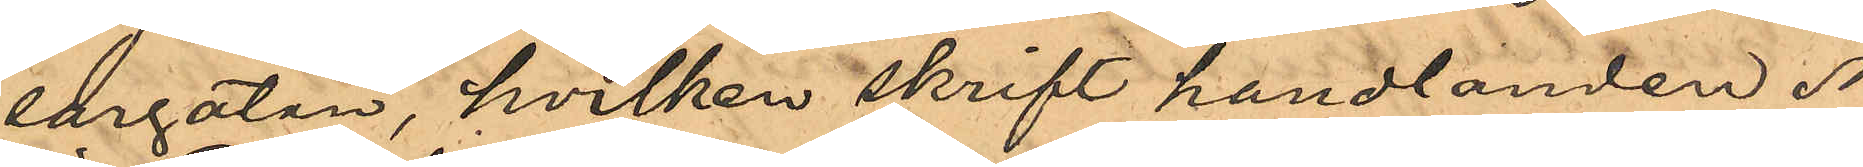sargatan, hvilken skrift handlanden N.
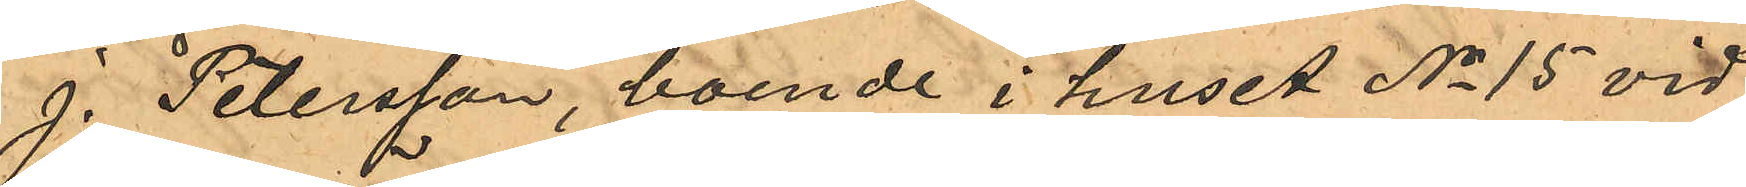J. Petersson, boende i huset No 15 vid
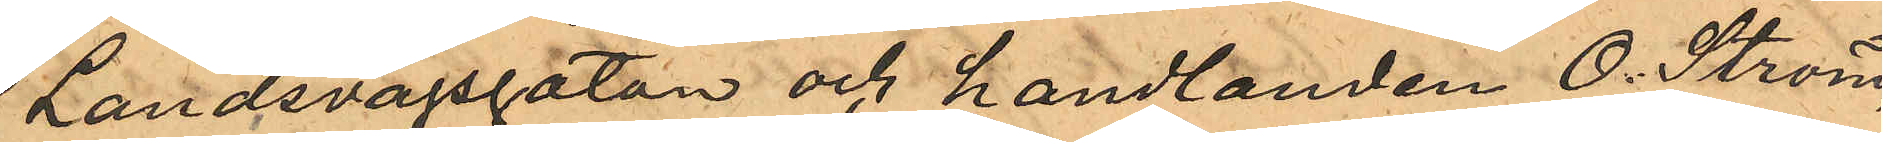Landsvägsgatan och handlanden O. Ström,
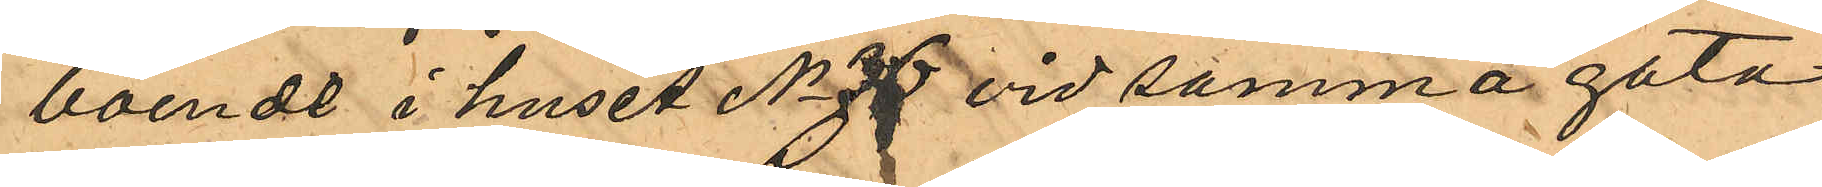boende i huset No 36 vid samma gata
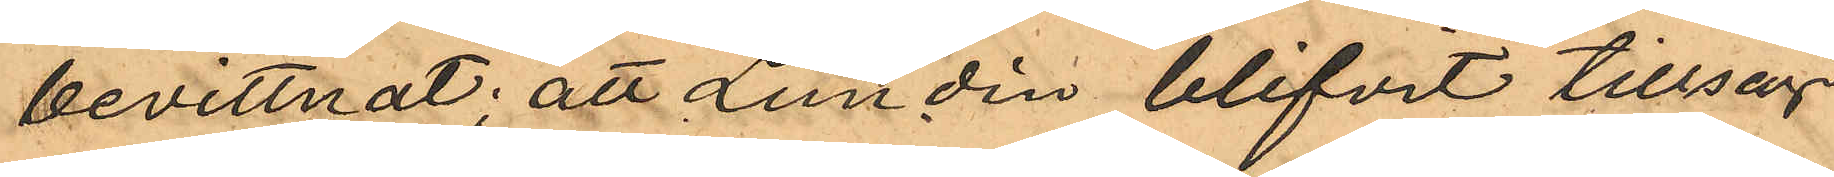bevittnat; att Lundin blifvit tillsagd
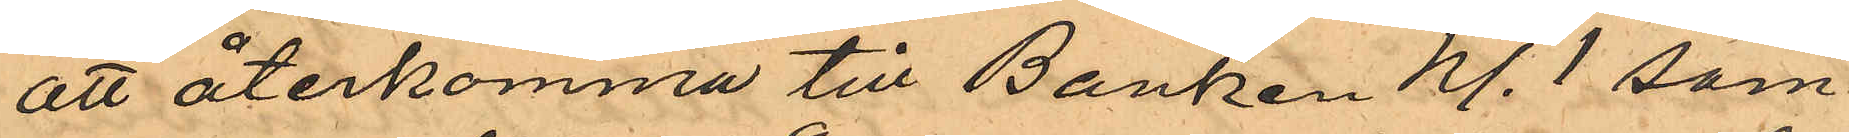att återkomma till Banken kl. 1 sam¬
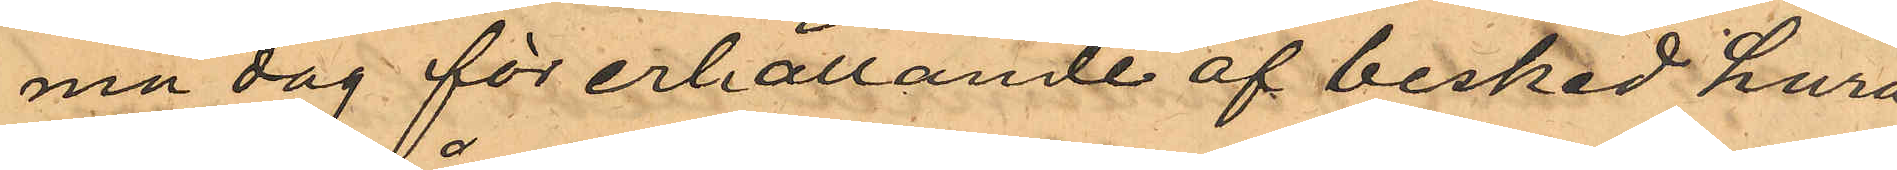ma dag för erhållande af besked huru¬
